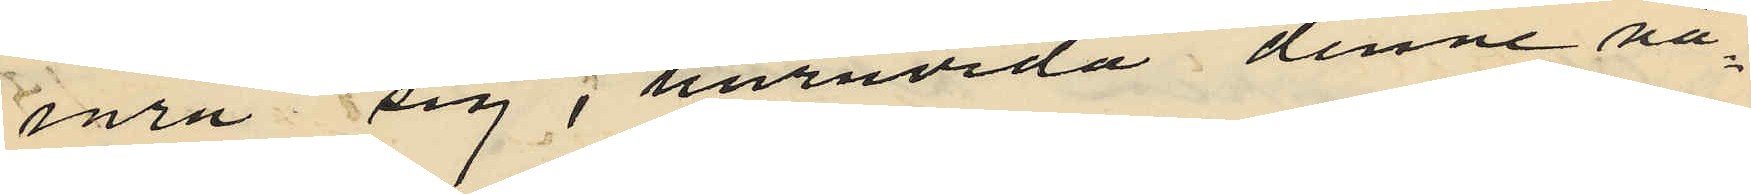inra sig, i huruvida denne nå¬
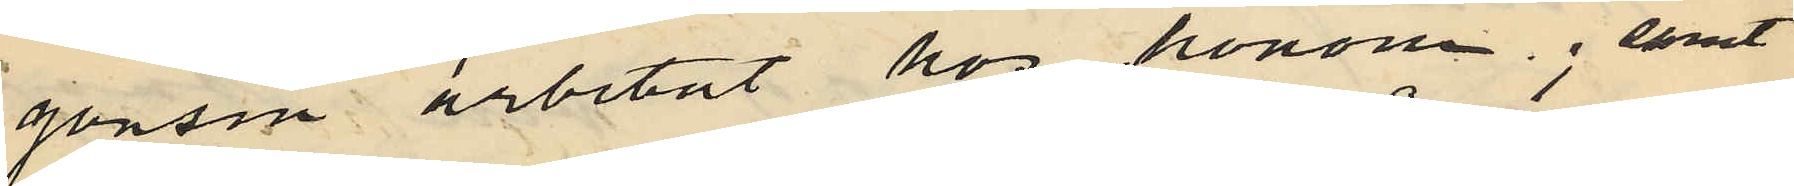gonsin arbetat hos honom; samt
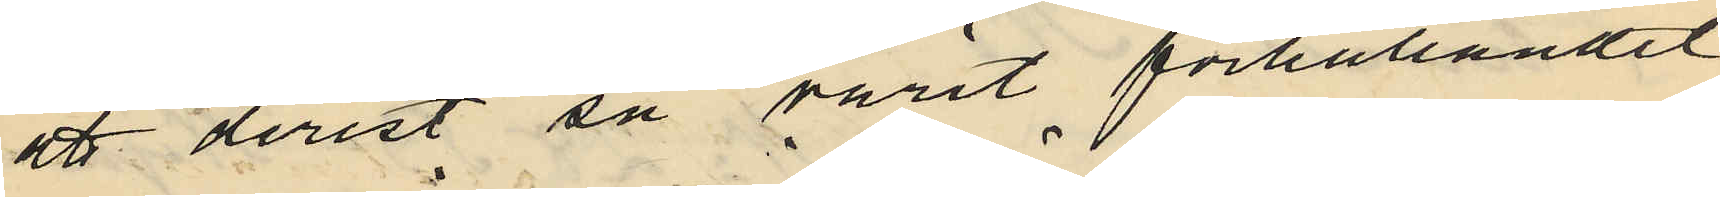att derest så varit förhållandet
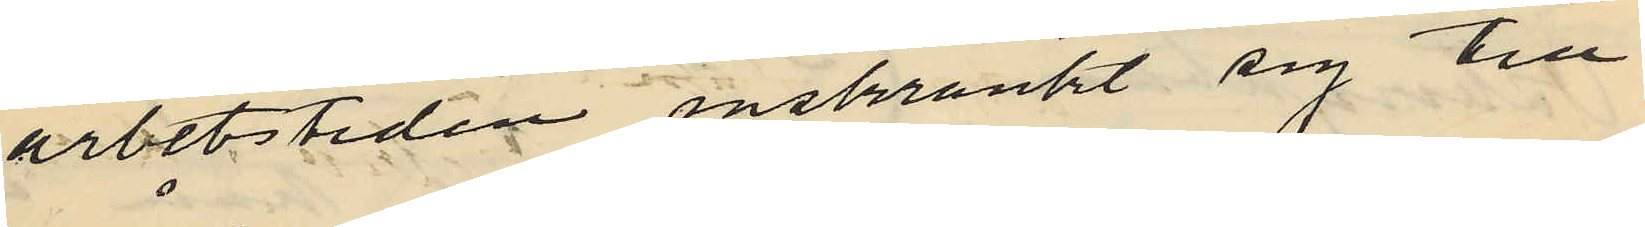arbetstiden instränkt sig till
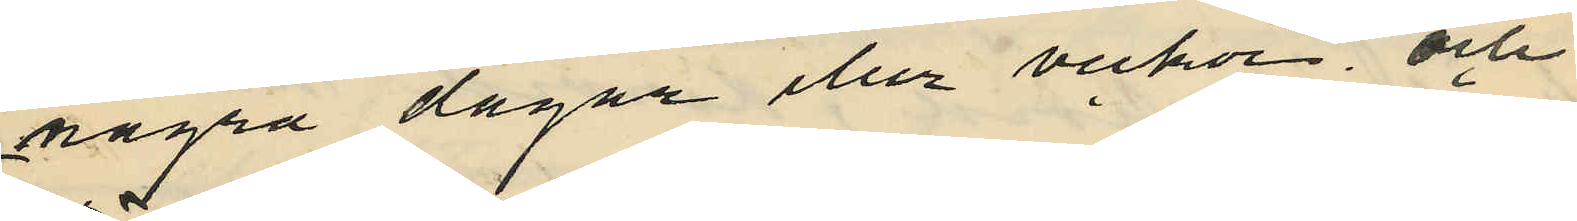några dagar eller veckor, och
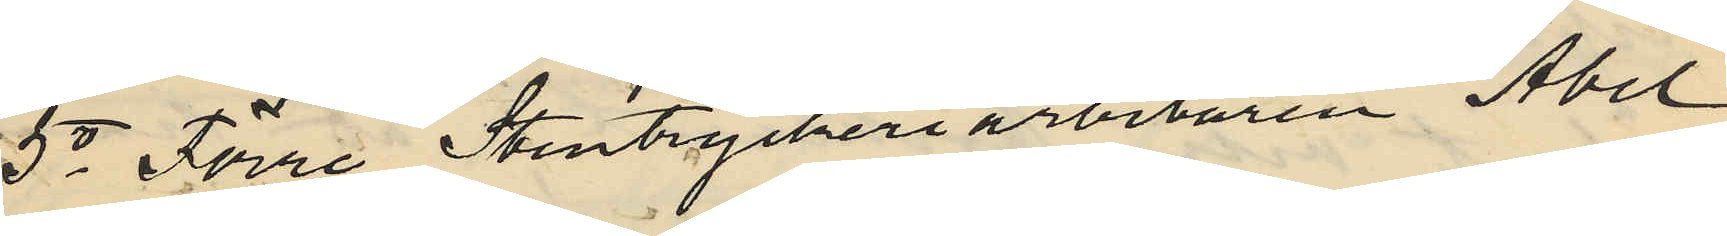5o Förre Stentryckeriarbetaren Abel
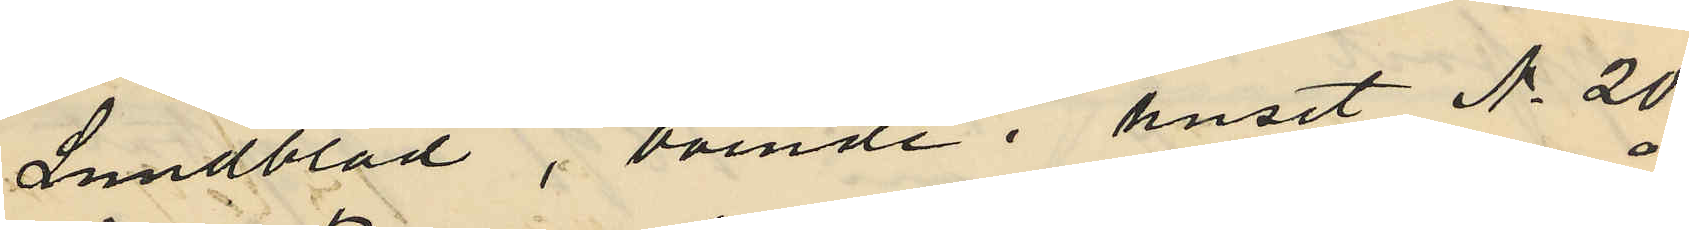Lundblad, boende i huset No 20
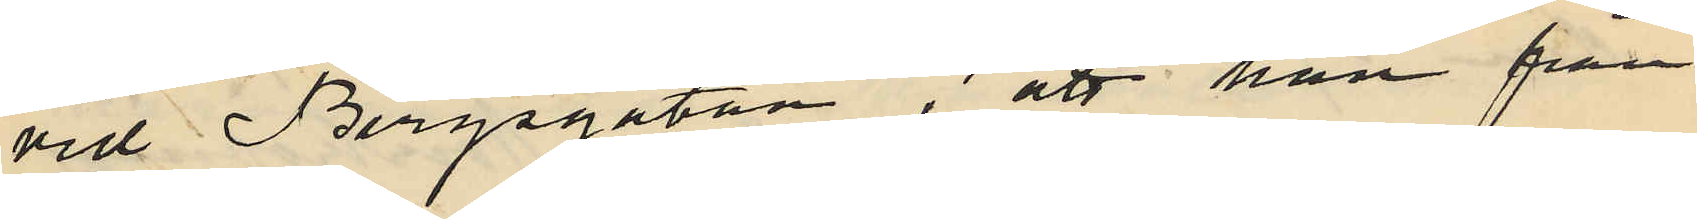vid Bergsgatan; att han från
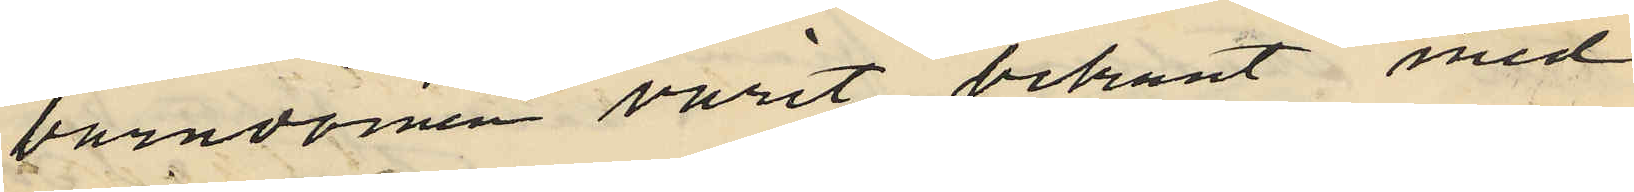barndomen varit bekant med
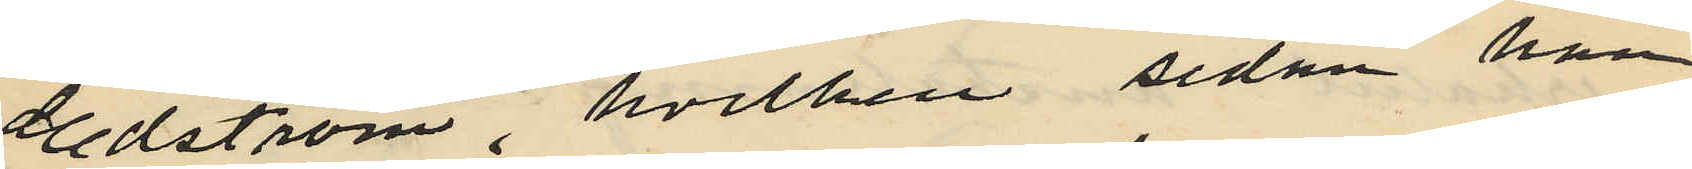Edström, hvilken sedan han
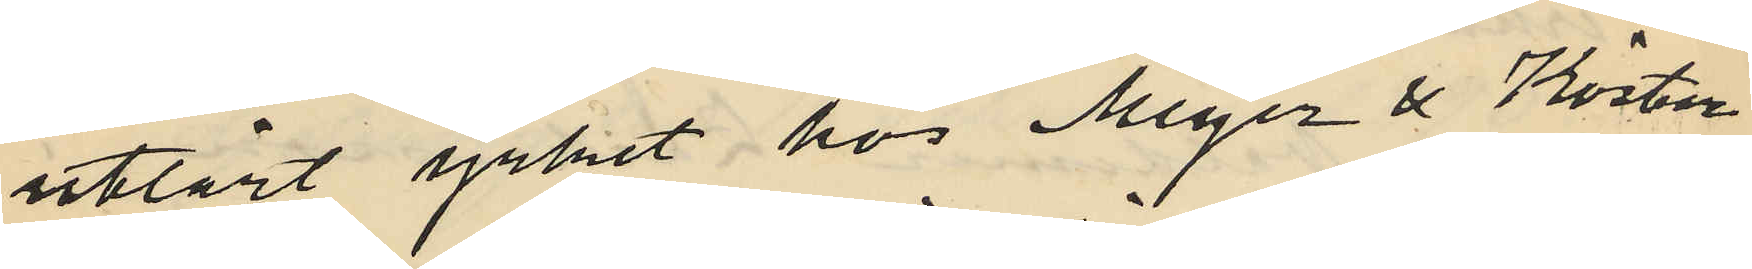utlärt yrket hos Meyer & Köster
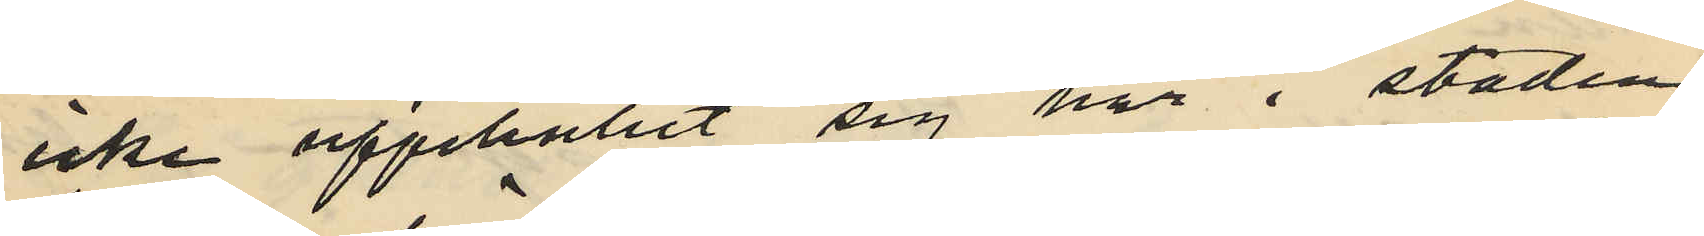icke uppehållit sig här i staden
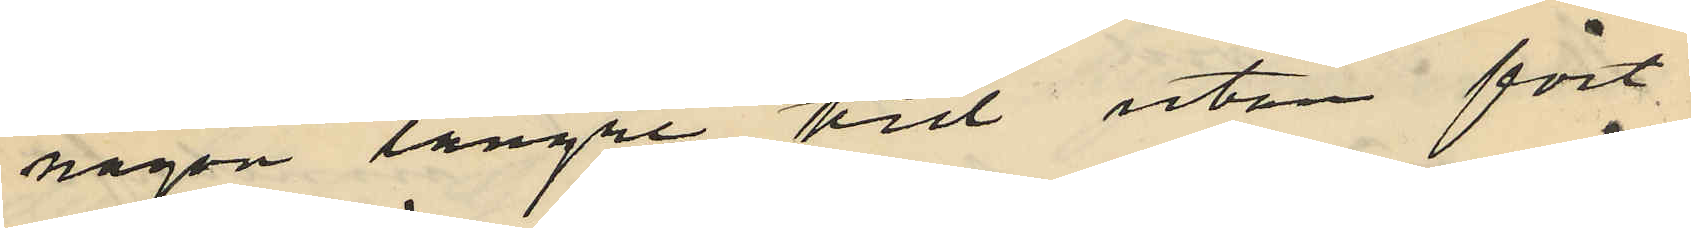någon längre tid utan fört
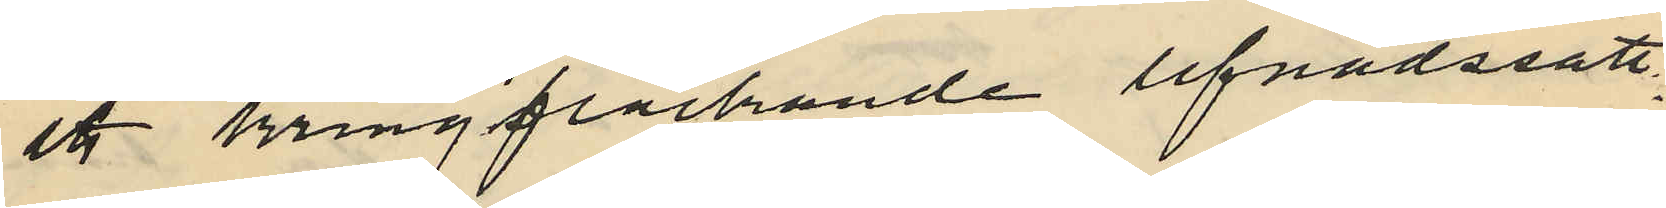ett kringflackande lefnadssätt.
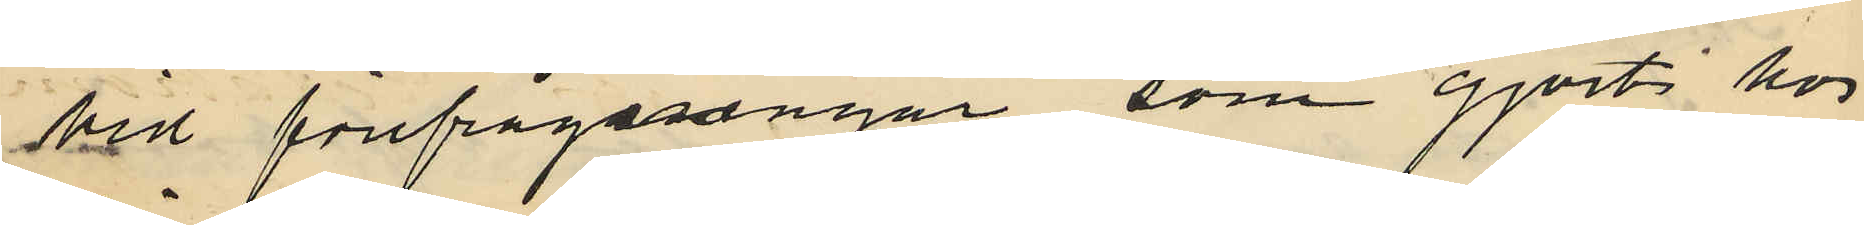Vid förfrågningar som gjort hos
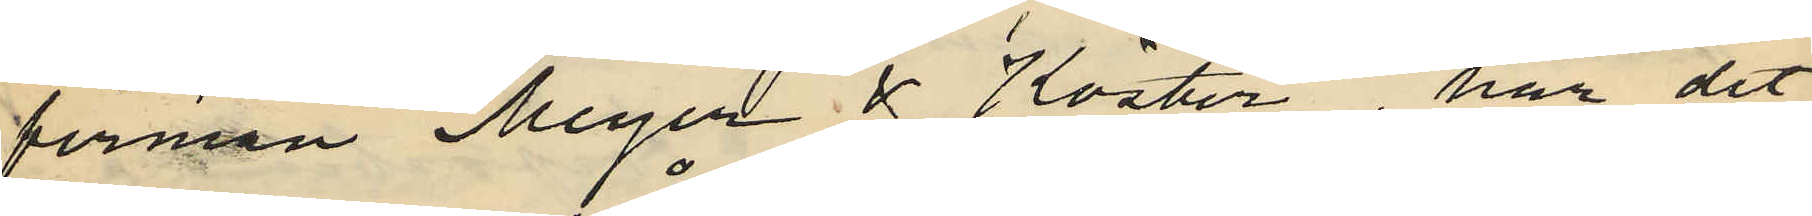firman Meyer& Köster har det
